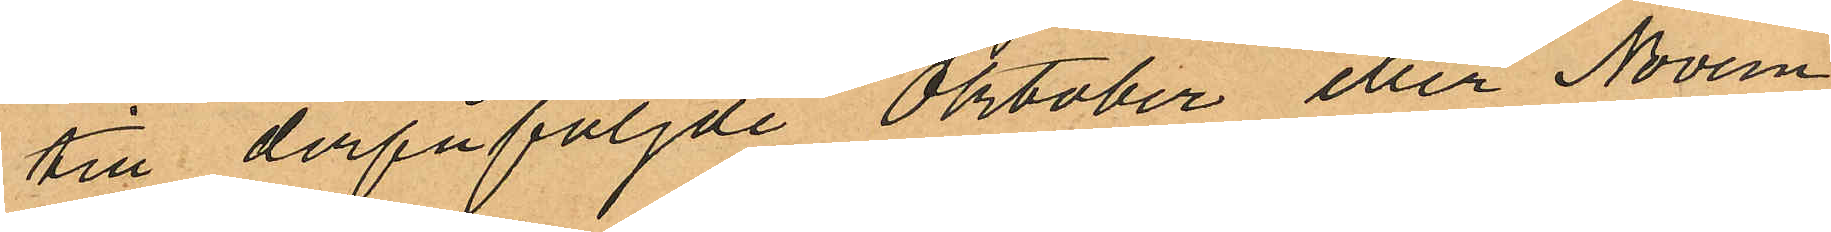till derpåföljde Oktober eller Novem¬
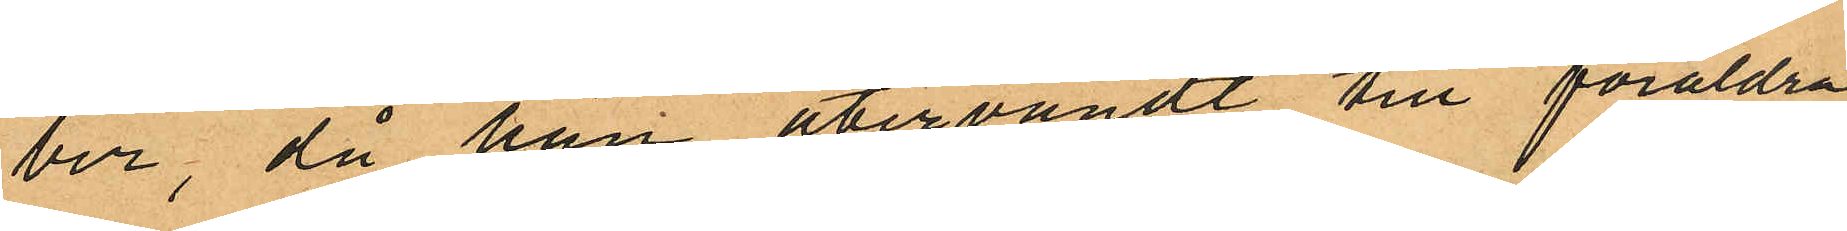ber, då han återvändt till föräldra¬
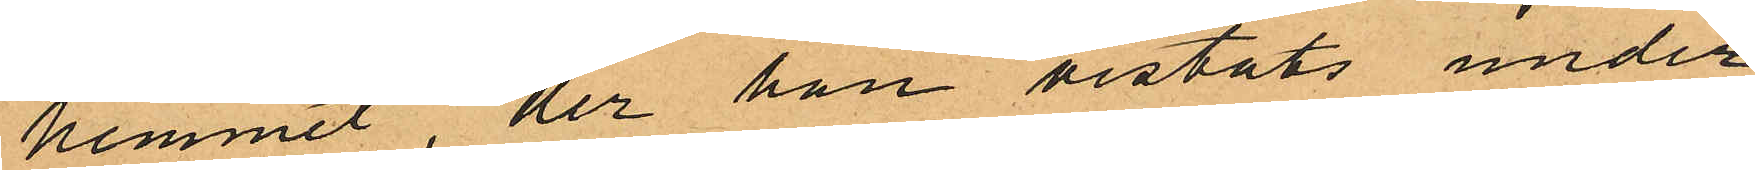hemmet, der han vistats under
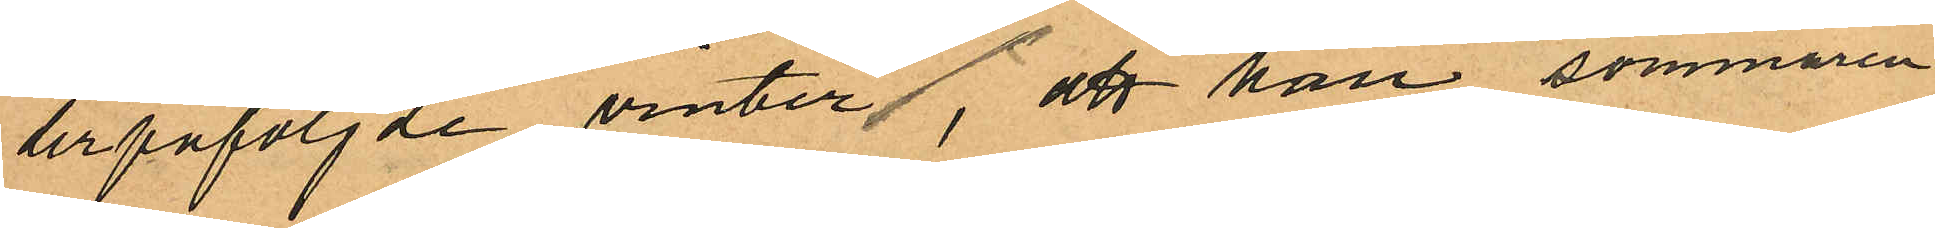derpåföljde vinter, att han sommaren
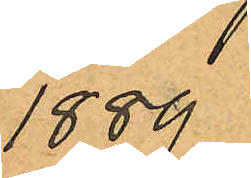1889
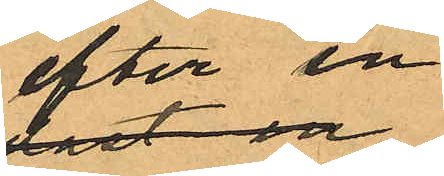efter en
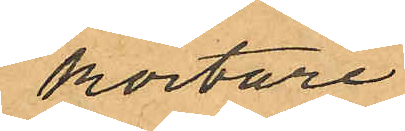kortare
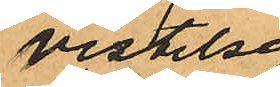vistelse
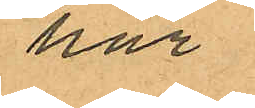här
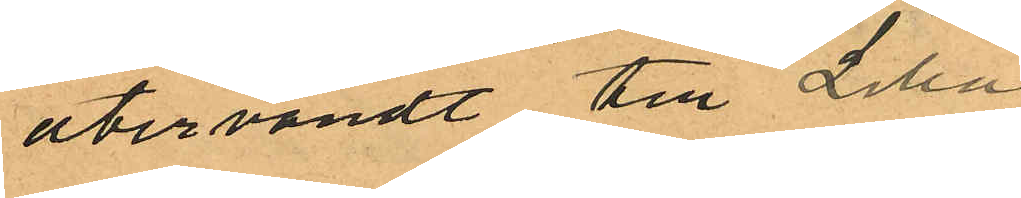återvändt till Lilla
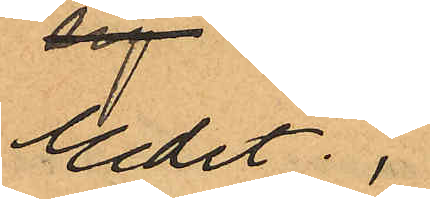Edet,
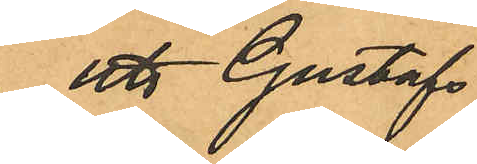att Gustafs
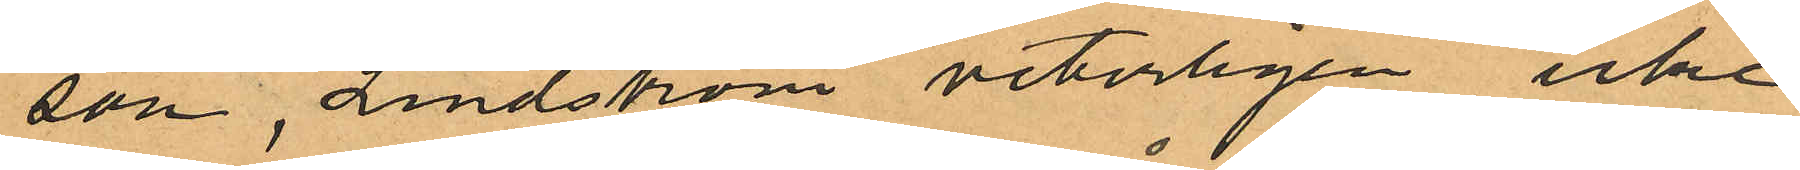son, Lindström veterligen icke
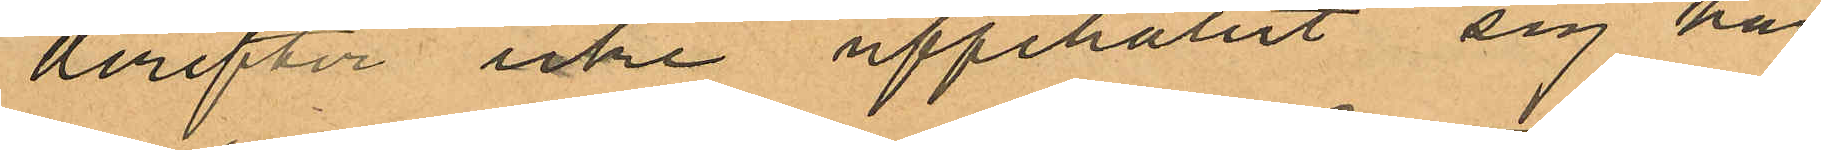derefter icke uppehållit sig här
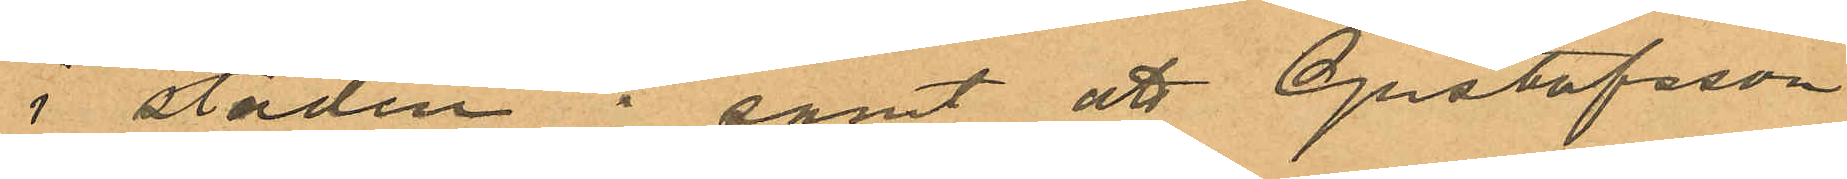i staden; samt att Gustafsson
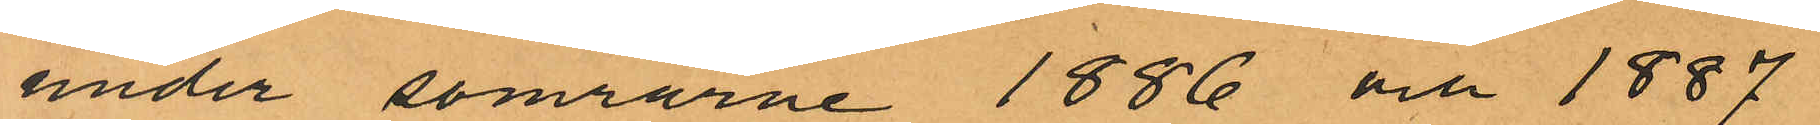under somrarne 1886 och 1887
